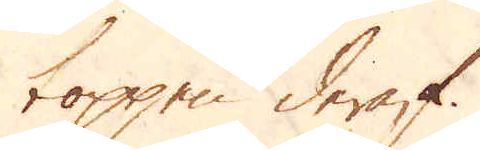toppen deraf.
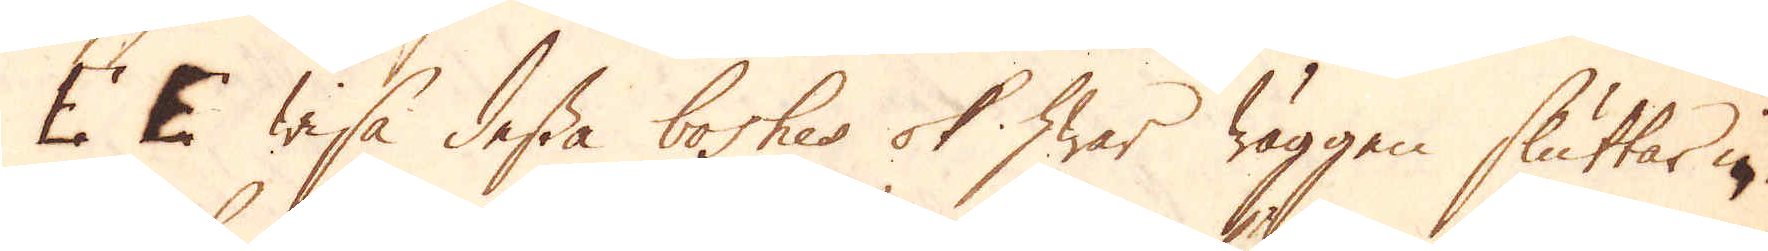E E wisa dessa boshes ok hwar wäggen sluttar in,
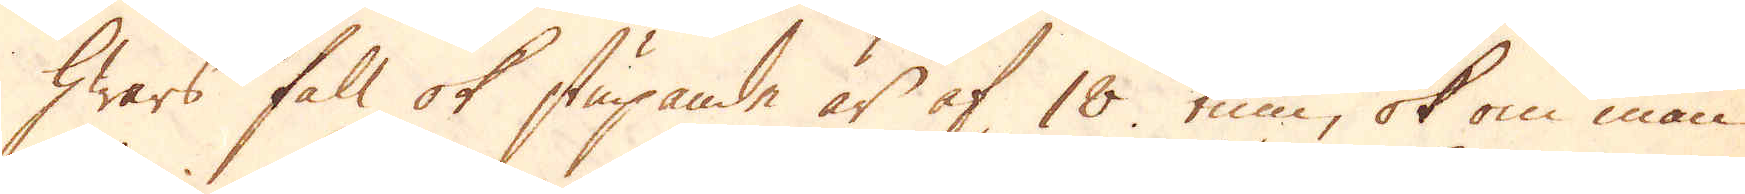hwars fall ok stupande är af 18 tum, ok om man
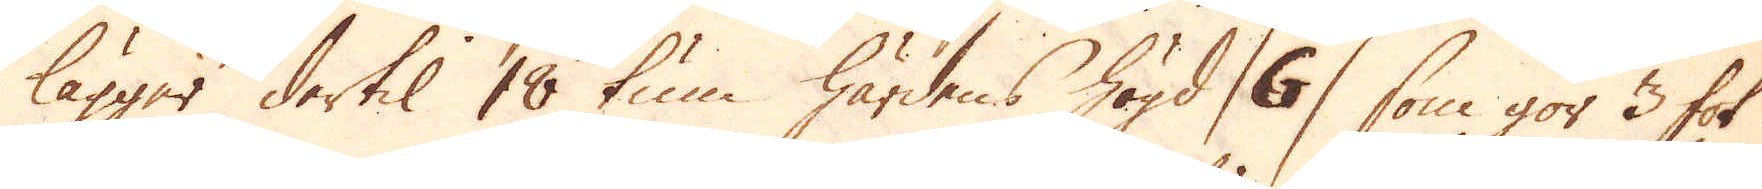lägger dertil 18 tum härdens högd /G/ som gör 3 fot
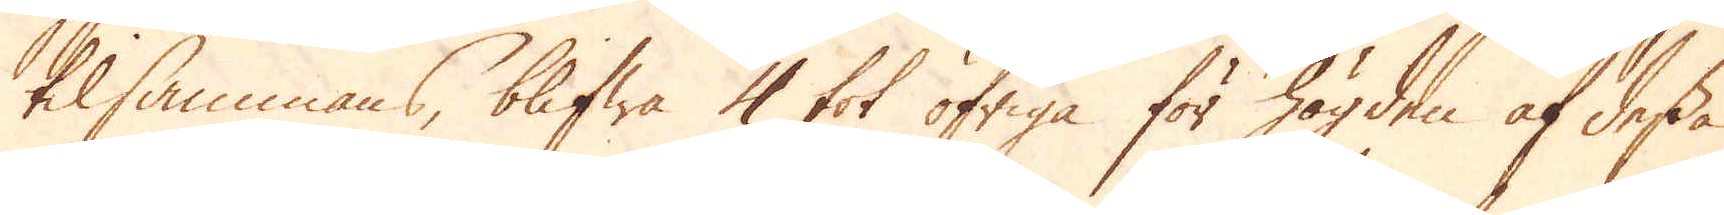tilsammans, blifwa 4 fot öfriga för högden af dessa
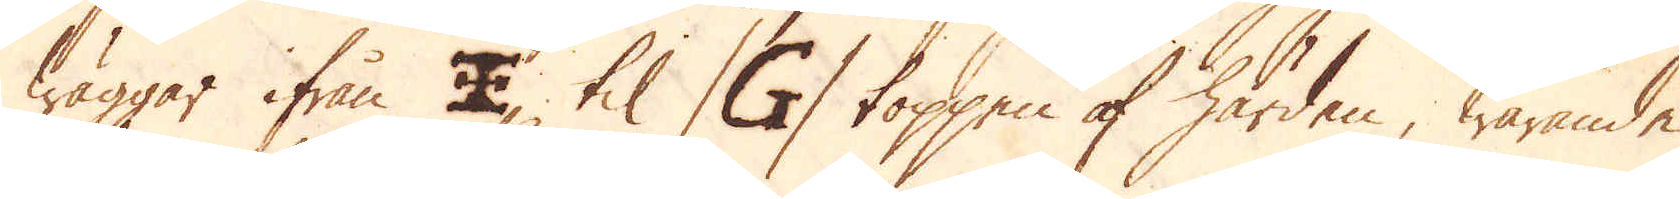wäggar ifrån ?, til /G/ toppen af härden, warande
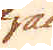ifrån
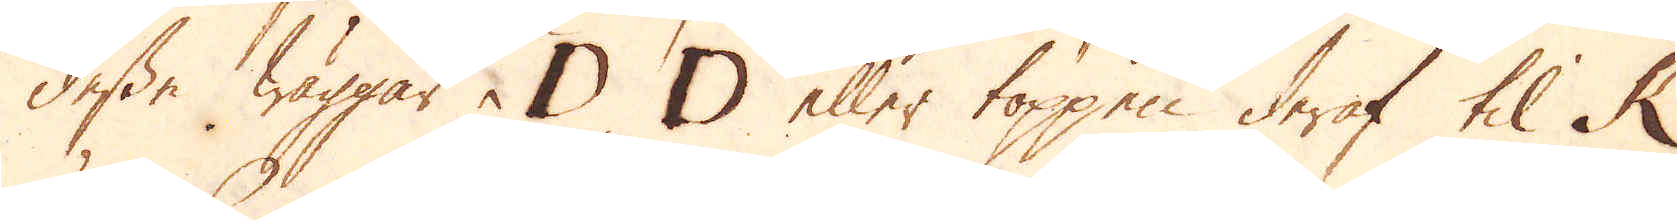desse wäggar D D eller toppen deraf til K
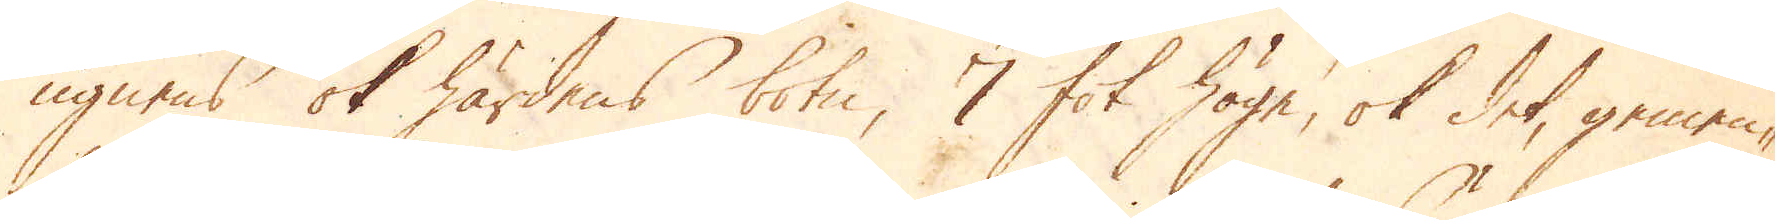ugnens ok härdens botn, 7 fot höge, ok det, gemen-
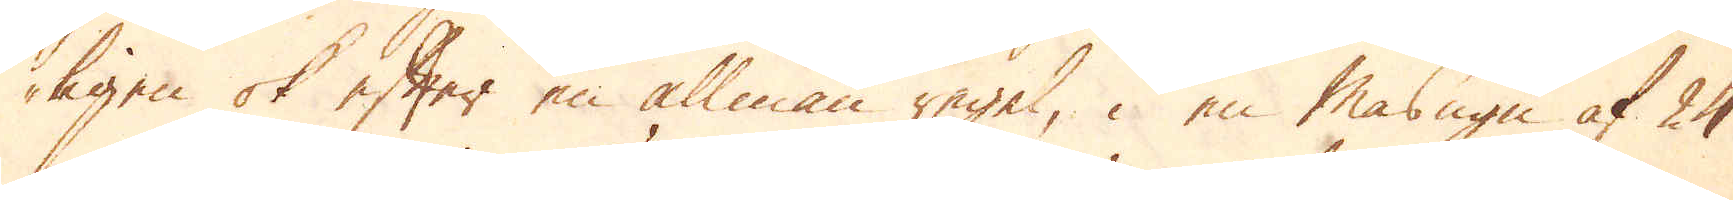ligen ok efter en allmän regel, i en Masugn af 24
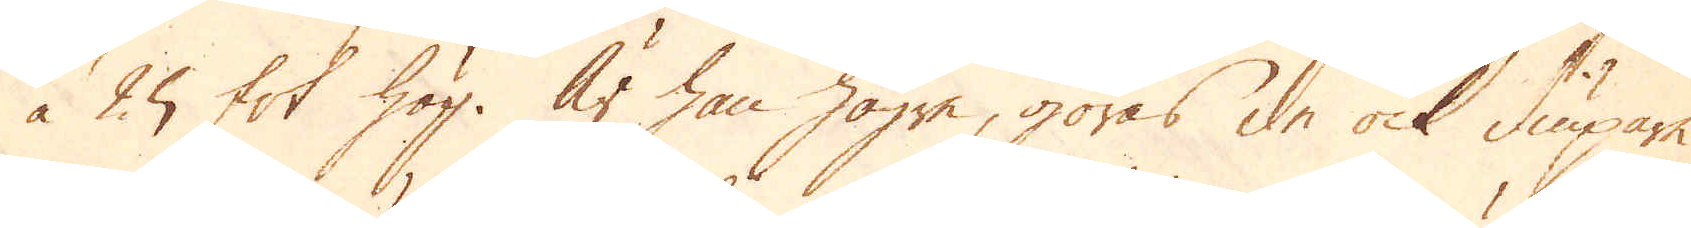à 25 fot hög. Är han högre, göras de ock diupare.
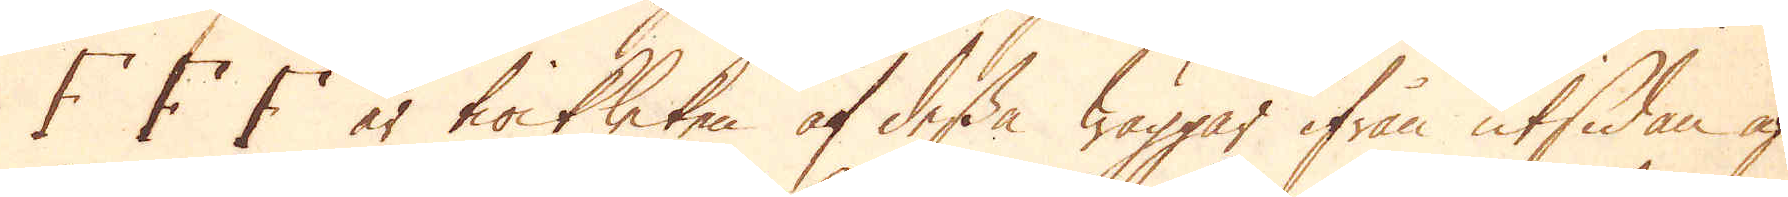F F F är tiockleken af dessa wäggar ifrån utsidan af
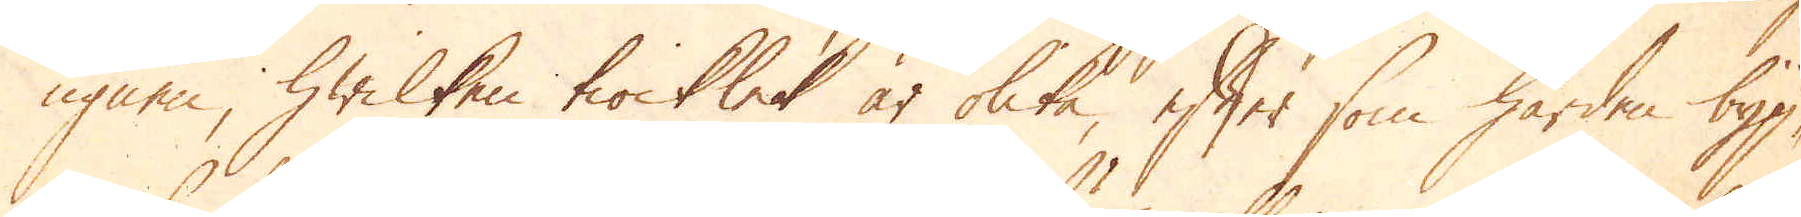ugnen, hwilken tiocklek är olika, efter som härden byg-
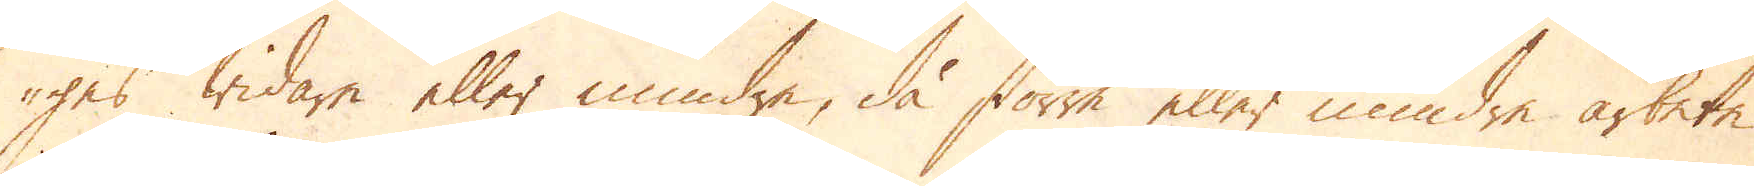ges widare eller mindre, då större eller mindre arbete
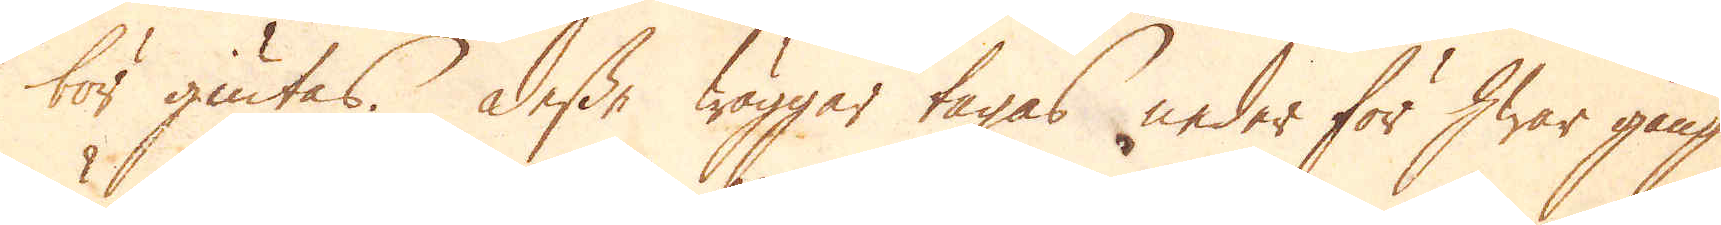bör giutas. Desse wäggar tagas neder för hwar gång
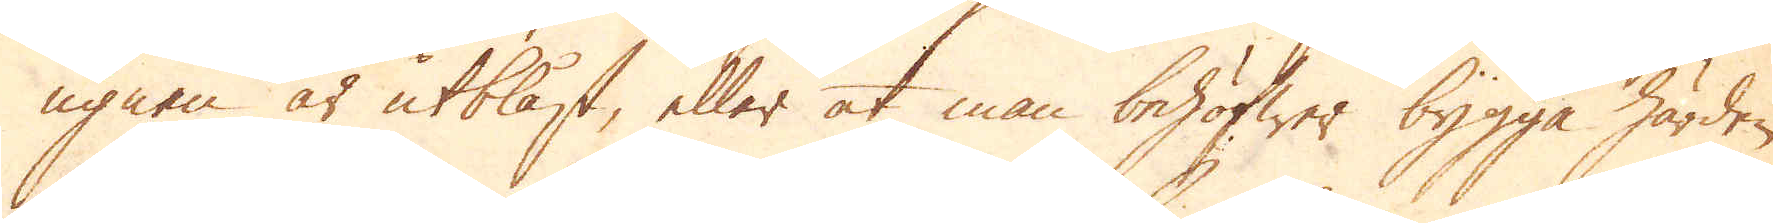ugnen är utblåst, eller at man behöfwer bygga härden
